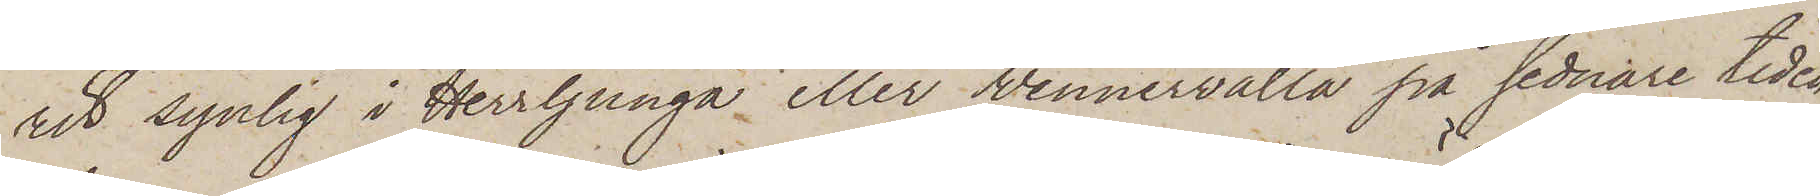rit synlig i Herrljunga eller Wennervalla på sednare tiden,
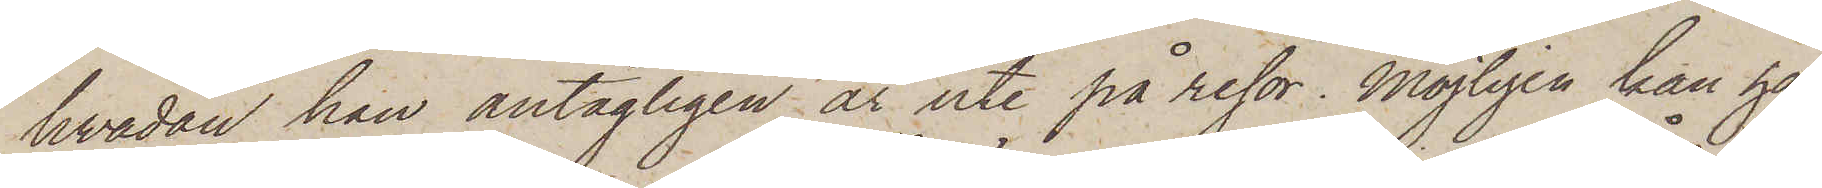hvadan han antagligen är ute på resor. Möjligen kan han
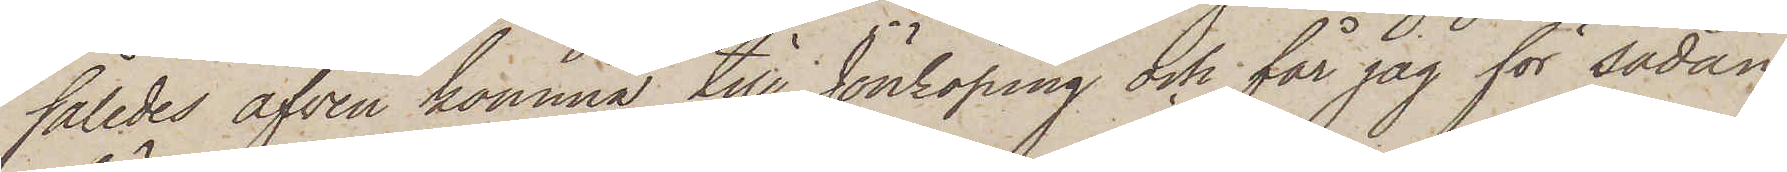således äfven komma till Jönköping och får jag för sådan
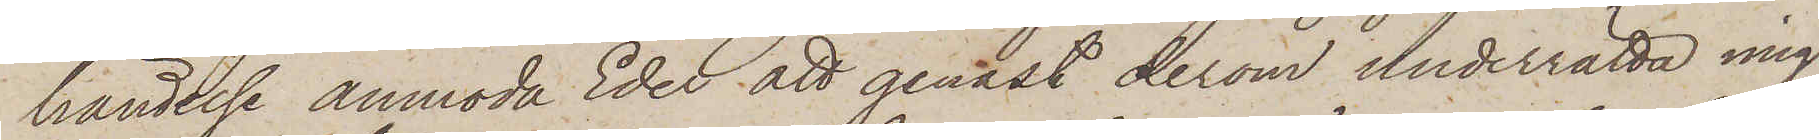händelse anmoda Eder att genast derom underrätta mig,
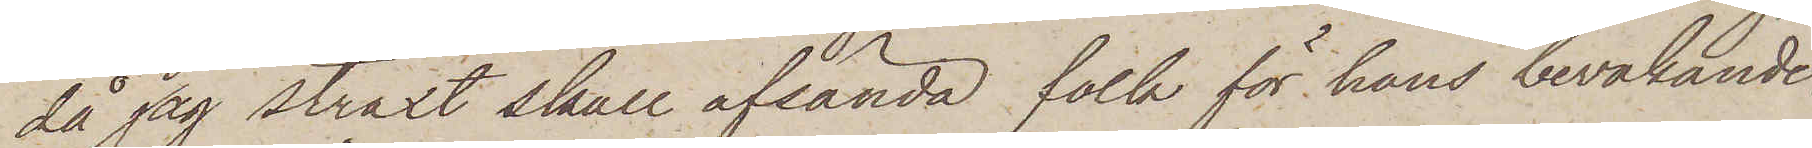då jag straxt skall afsända folk för hans bevakande.
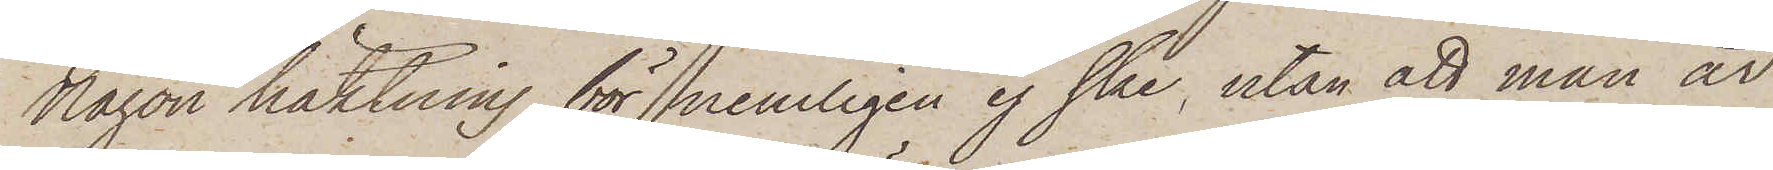Någon häktning bör nemligen ej ske, utan att man är
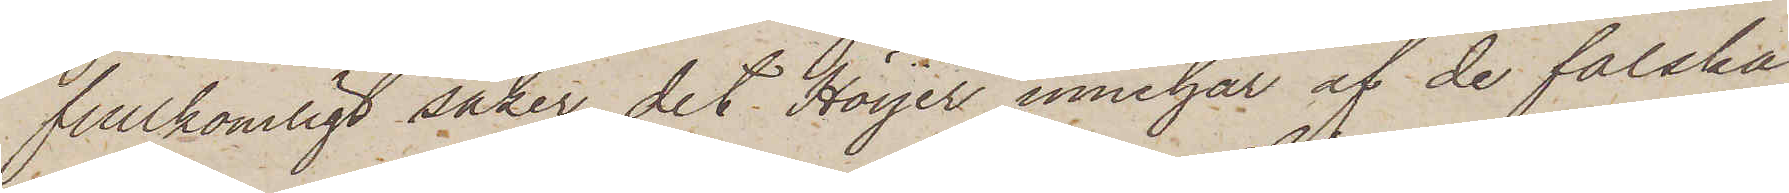fullkomligt säker, det Höijer innehar af de falska
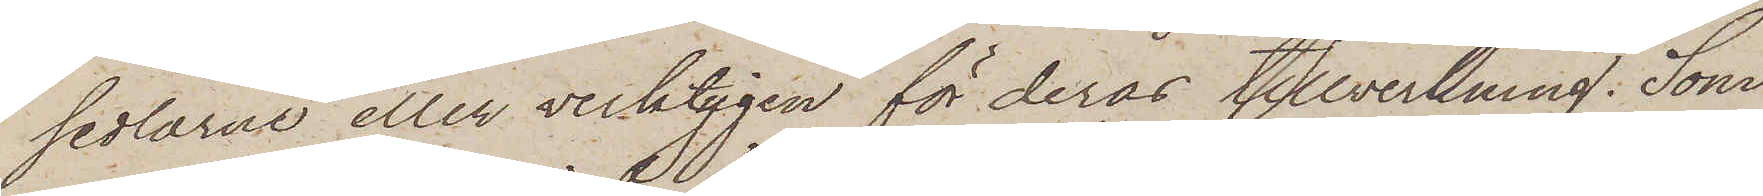sedlarne eller verktygen för deras tillverkning. Som
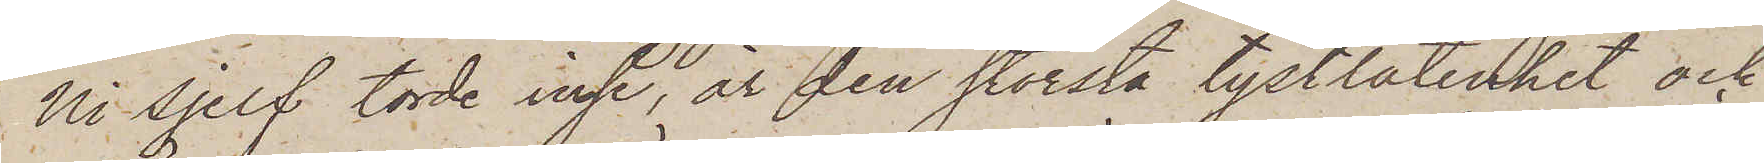Ni sjelf torde inse, är den största tystlåtenhet och
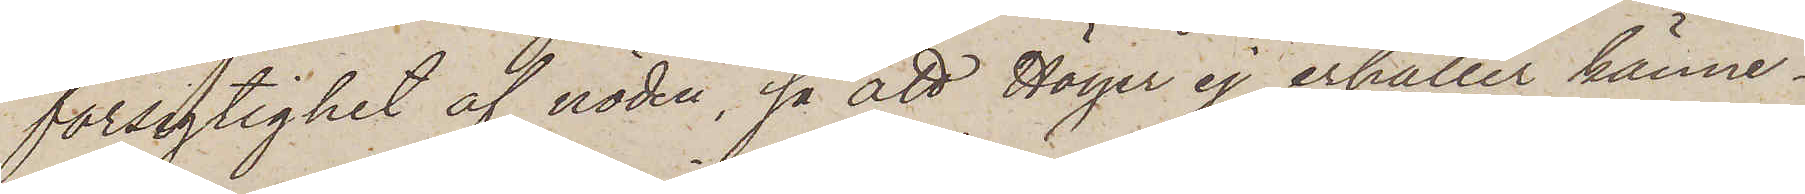försigtighet af nöden, så att Höyer ej erhåller känne¬
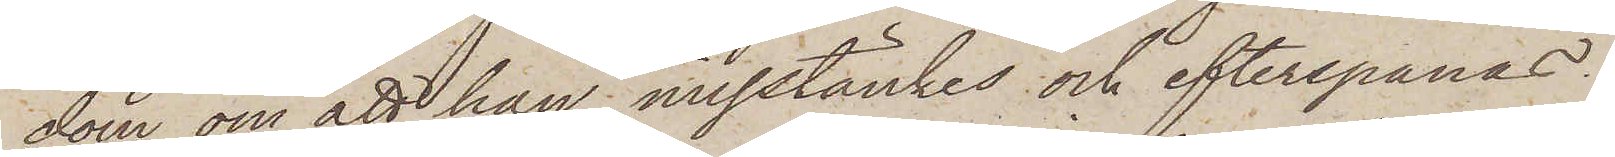dom om att han misstänkes och efterspanas.
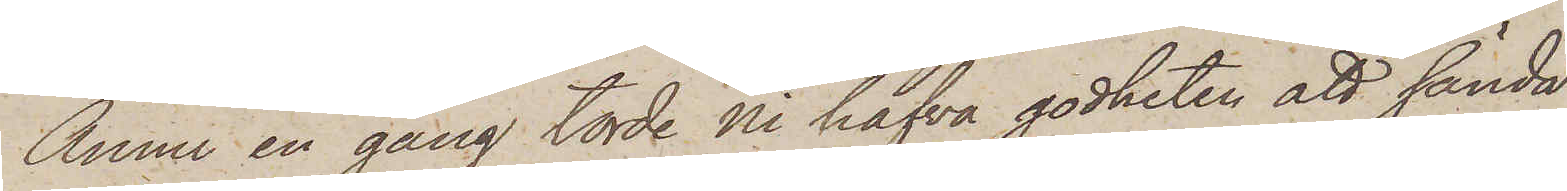Ännu en gång torde ni hafva godheten att sända
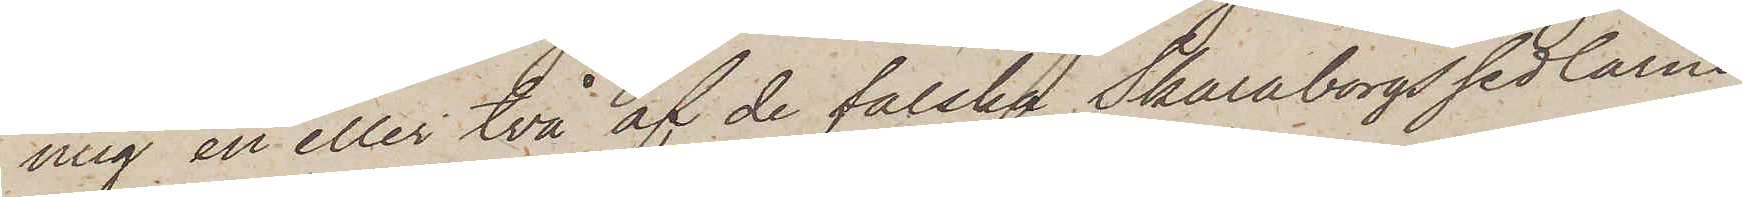ning en eller två af de falska Skaraborgssedlarne
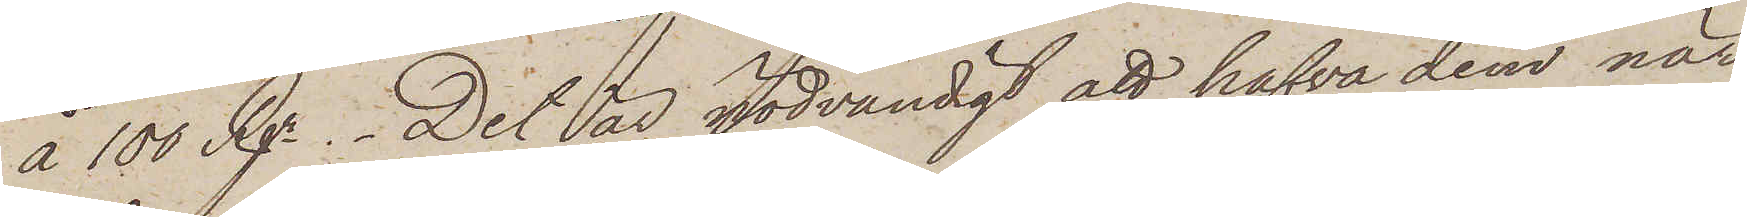å 100 Rgr.  Det är nödvändigt att hafva dem när
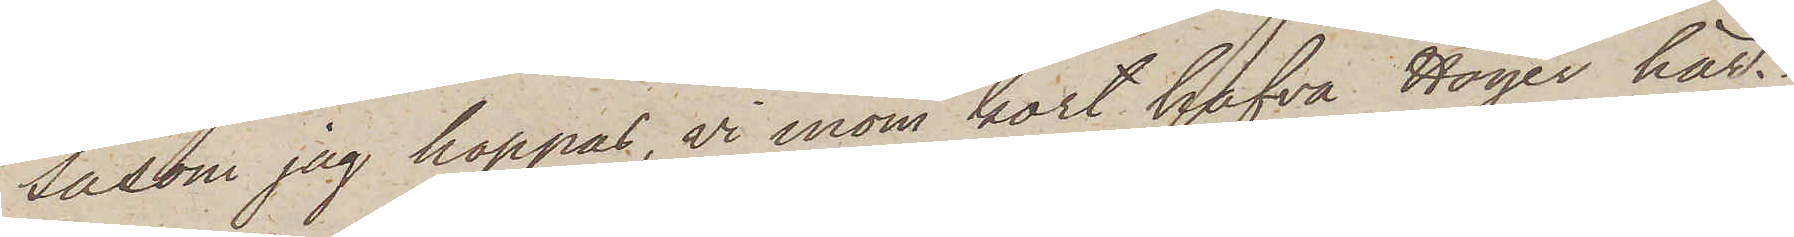såsom jag hoppas, vi inom kort hafva Höyer här.
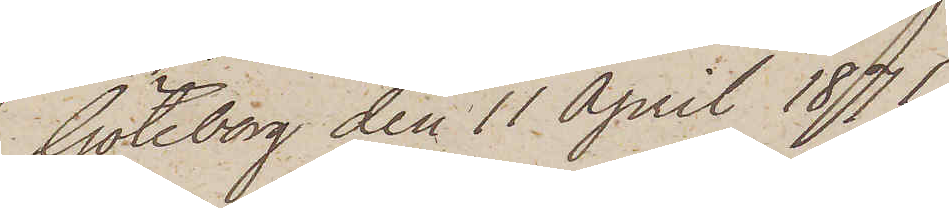Göteborg den 11 April 1871.
